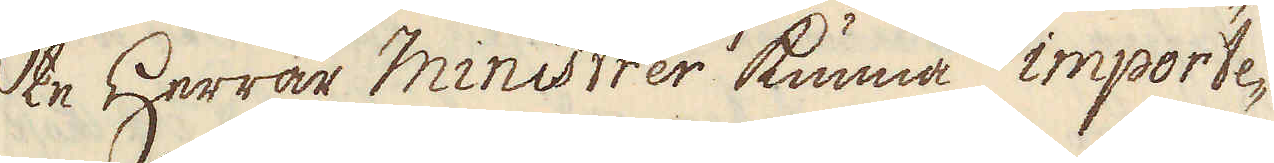te Herrar Ministrer kunna importe-
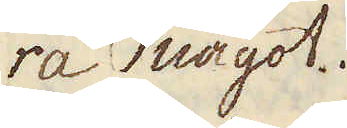ra något.
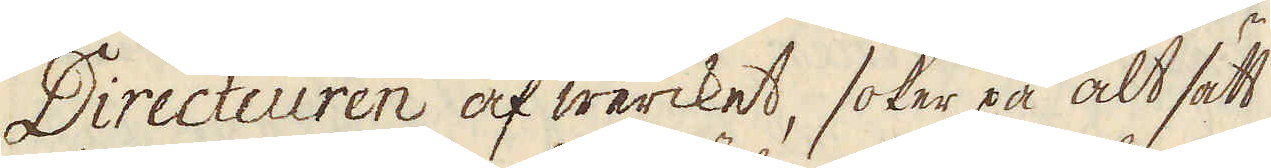Directeuren af wercket, söker på alt sätt
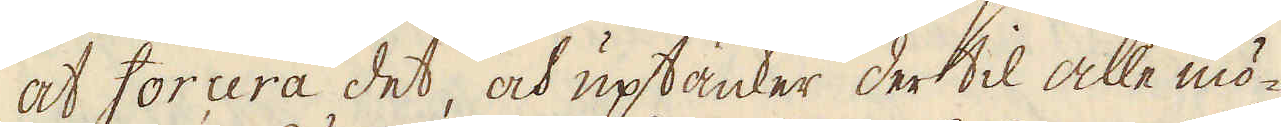at forcera det, och uptänker der til alle mö-
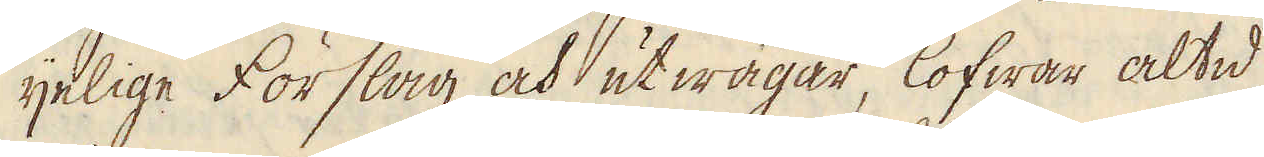ijelige förslag och utwägar, lofwar altid
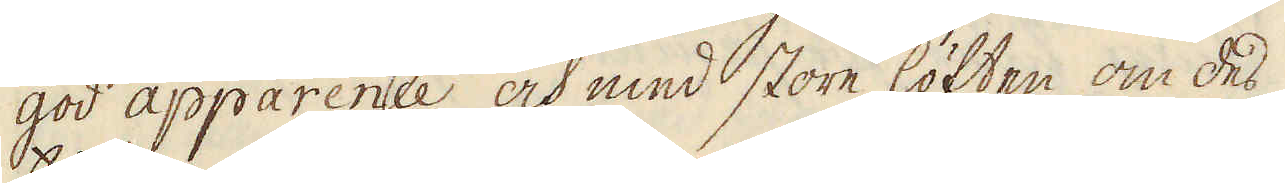god apparence och med store löften om des
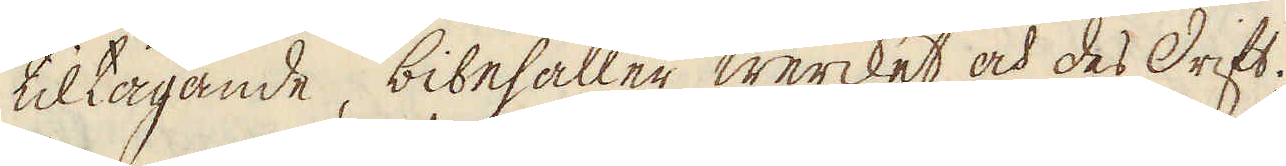tiltagande, bibehåller wercket och des drift.
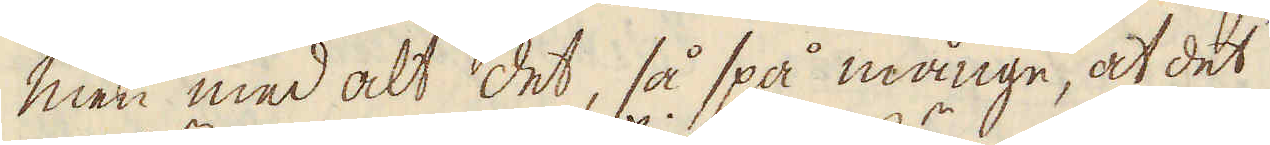Men med alt det, så spå månge, at det
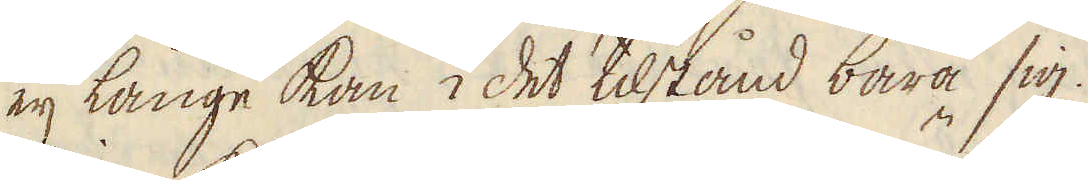eij länge kan i det tilstånd bära sig.
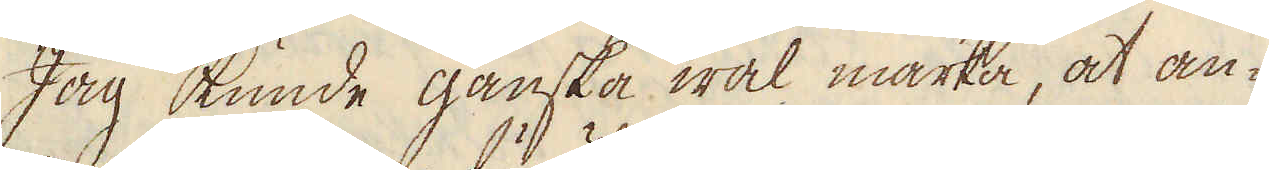Jag kunde ganska wäl märka, at an-
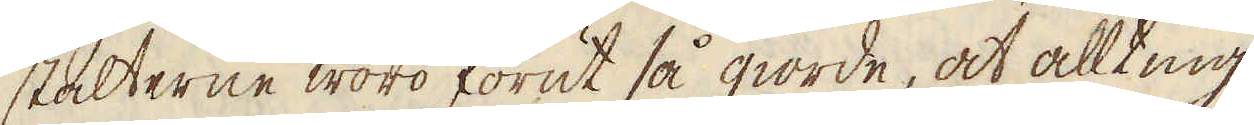stalterne woro förut så giorde, at allting
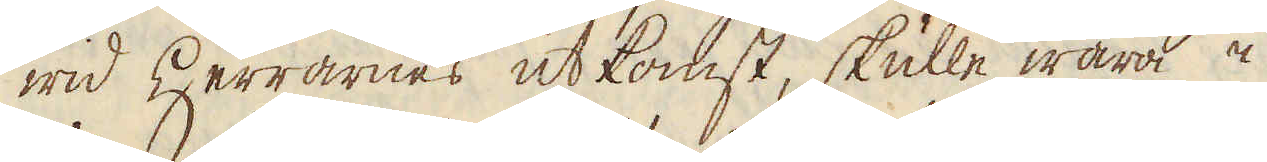wid Herrarnes utkomst, skulle wara i
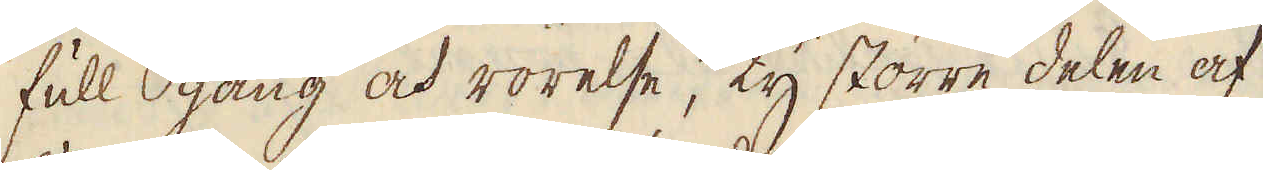full gång och rörelse, ty större delen af
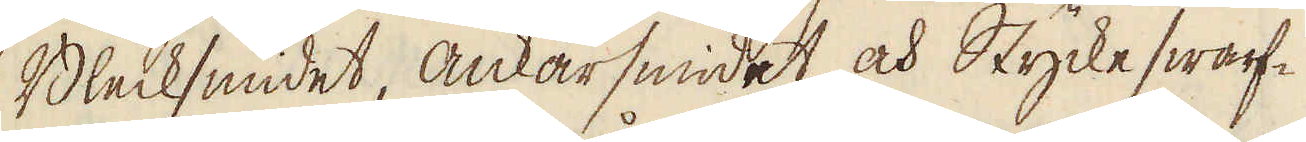Blecksmidet, Ankarsmidet och Stycke swarf-
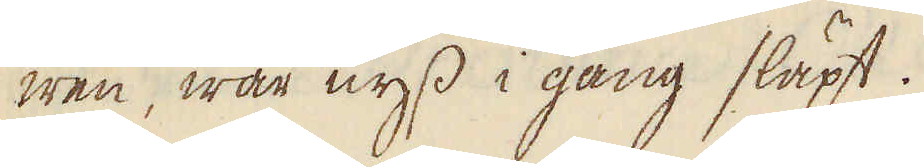wen, war nyss i gång släpt.
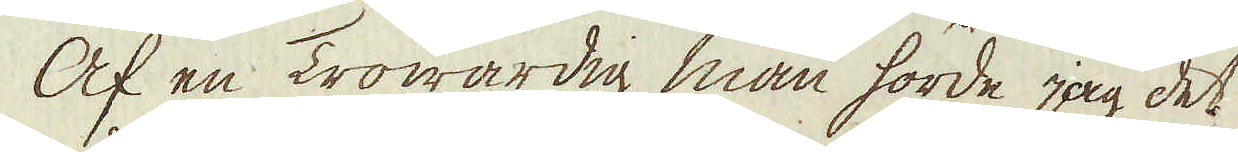Af en Trowärdig man hörde jag det
